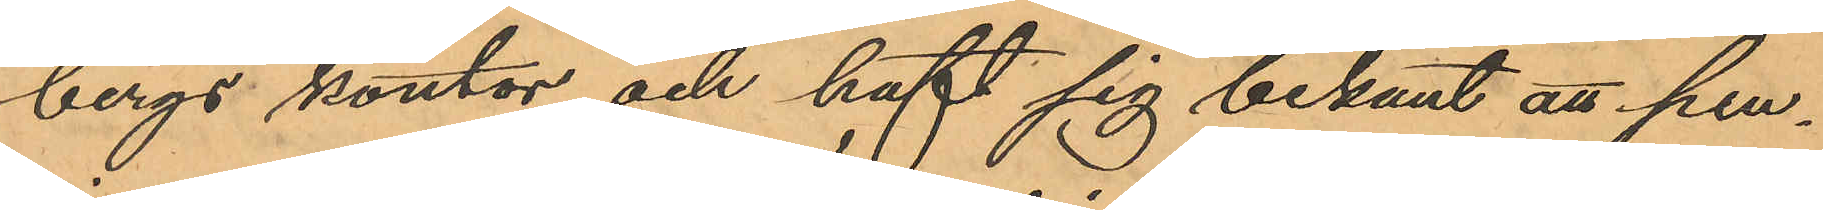bergs kontor och haft sig bekant att pen¬
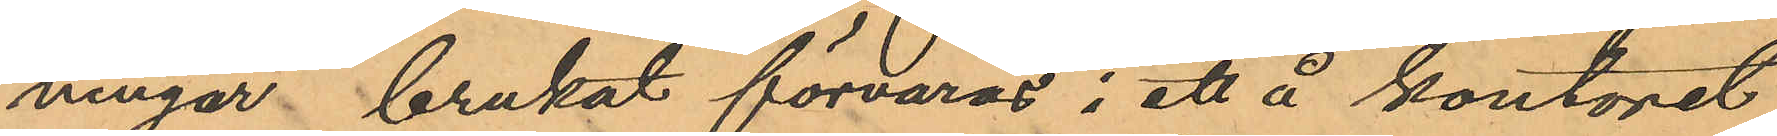ningar brukat förvaras i ett å kontoret
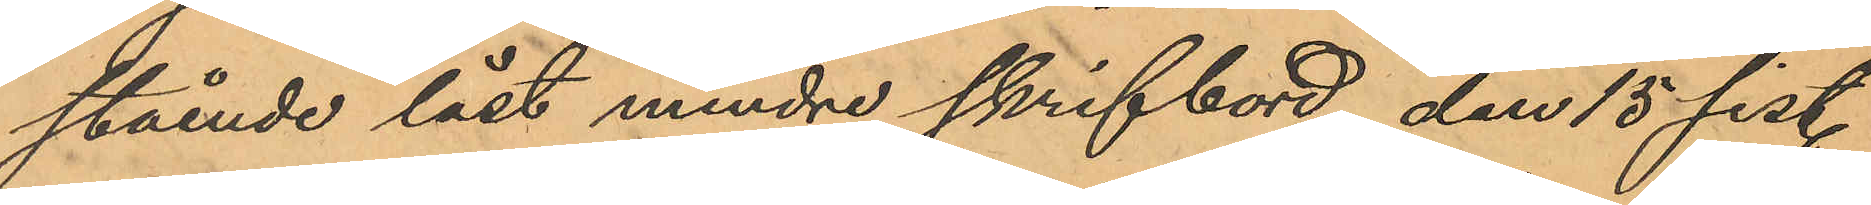stående låst mindre skrifbord, den 15 sist.
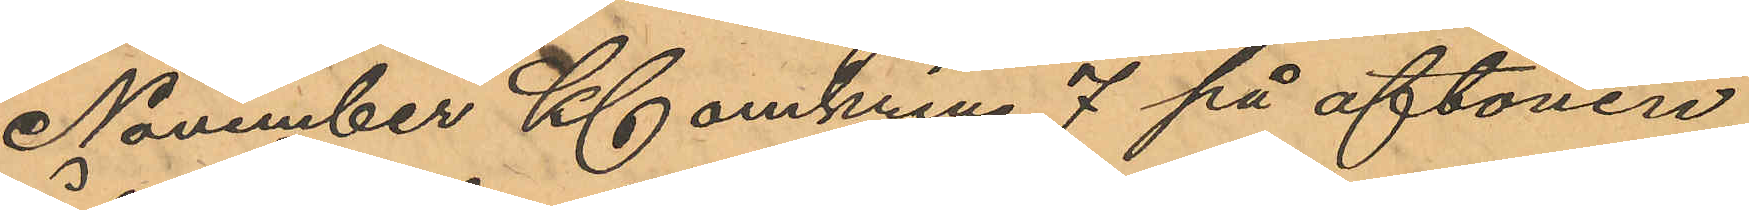November Kl omkring 7 på aftonen,
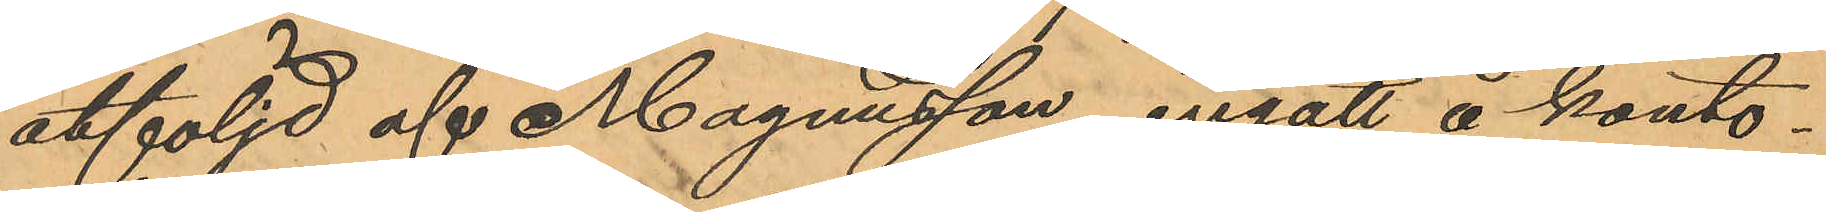åtföljd af Magnusson, ingått å konto¬
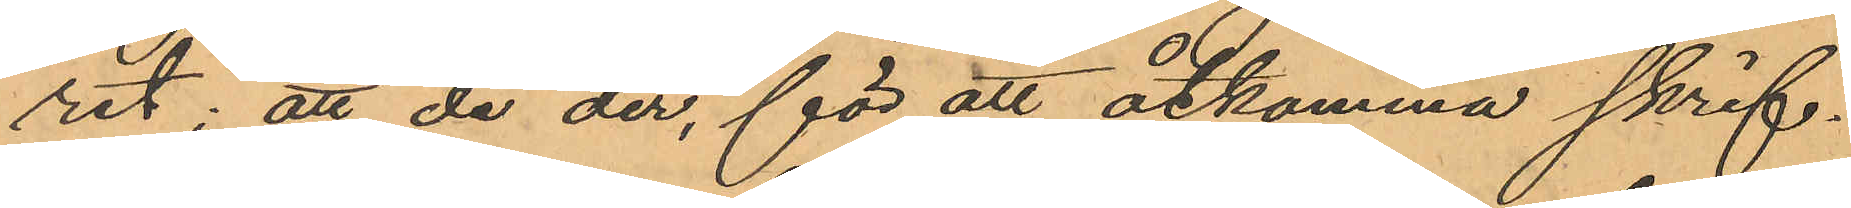ret; att de der, för att åtkomma skrif¬
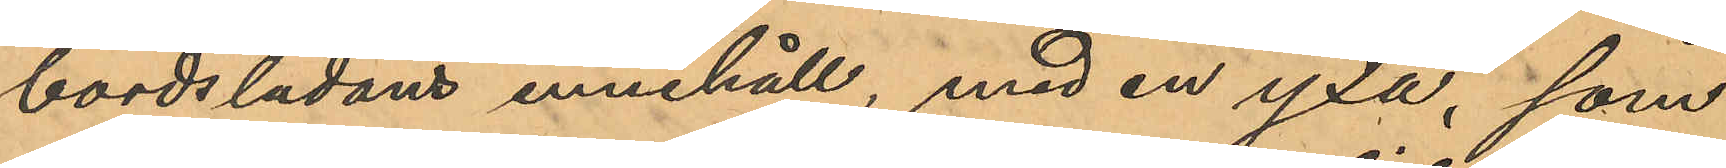bordslådans innehåll, med en yxa, som
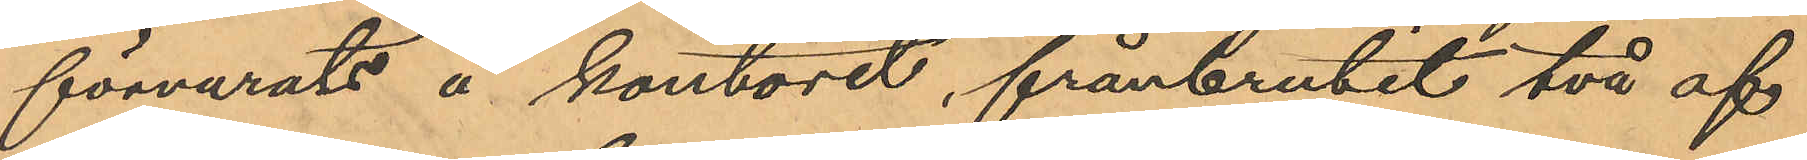förvarats å kontoret, frånbrutit två af
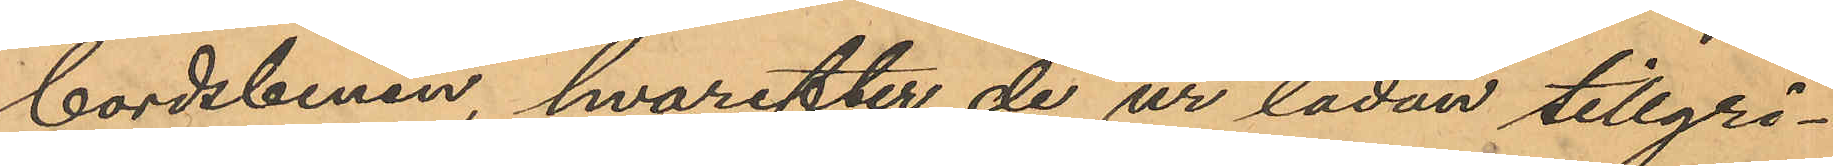bordsbenen, hvarefter de ur lådan tillgri¬
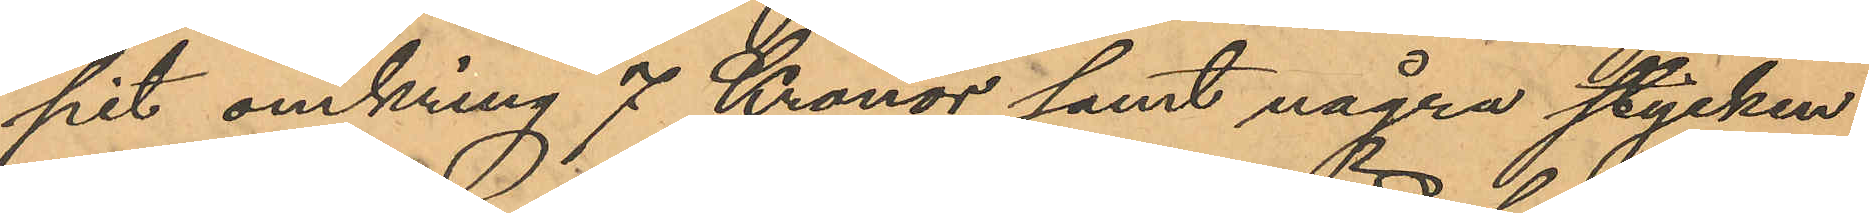pit omkring 7 Kronor samt några stycken
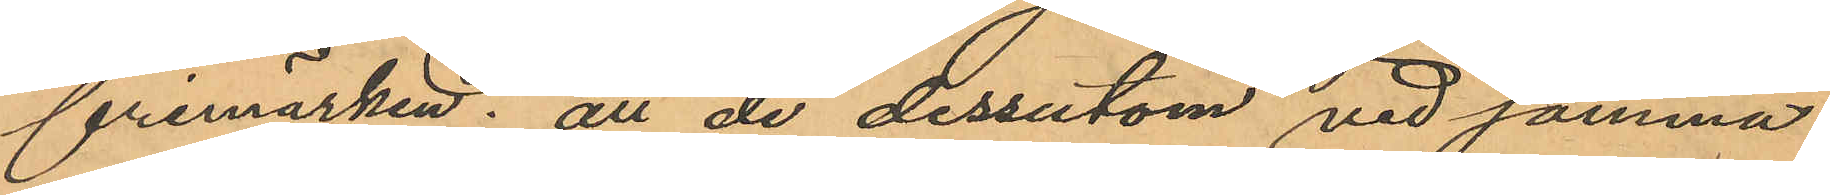frimärken; att de dessutom vid samma
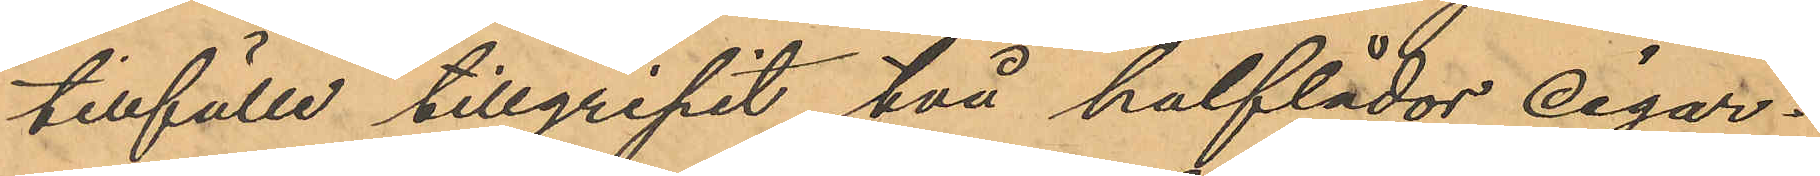tillfälle tillgripit två halflådor cigar¬
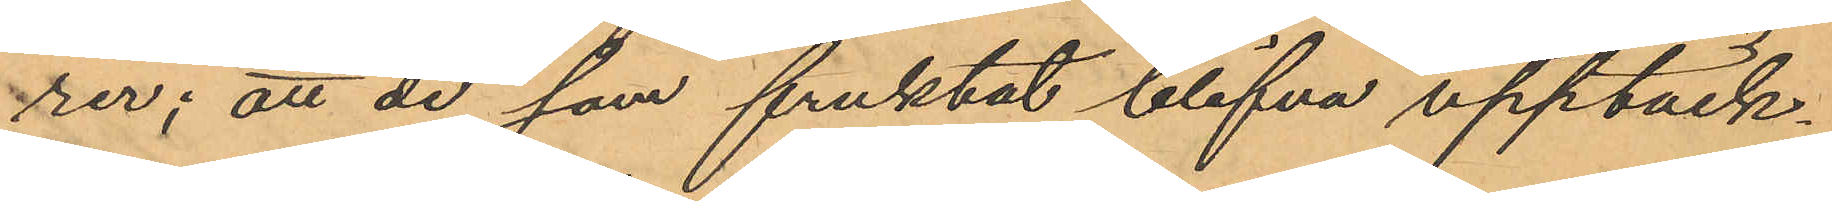rer; att de som fruktat blifva upptäck¬
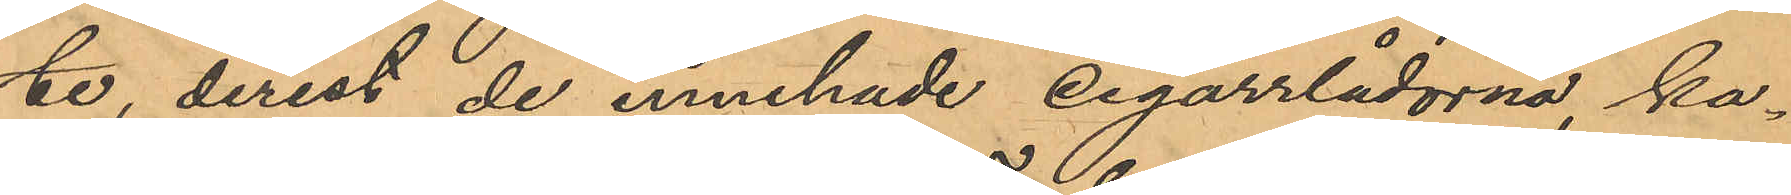te, derest de innehade cigarrlådorna, ka¬
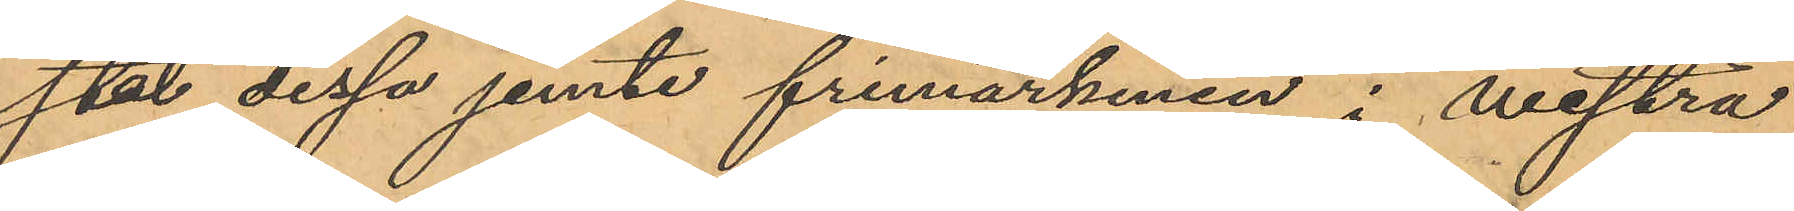stat dessa jemte frimärkerne i westra
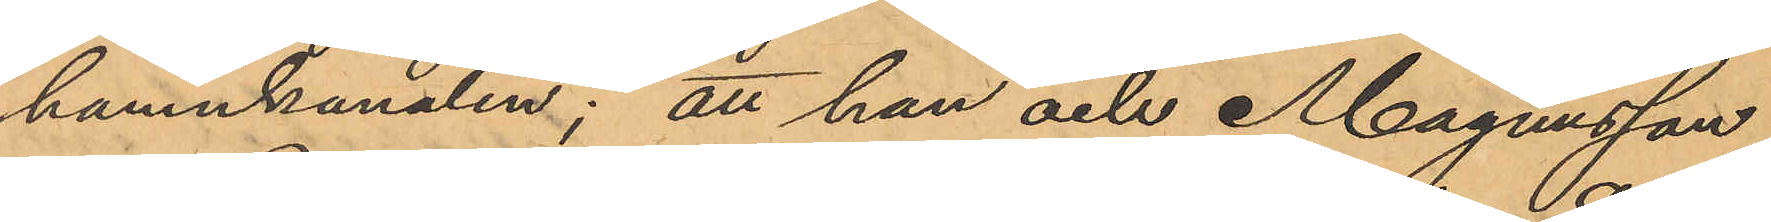hamnkanalen; att han och Magnusson
